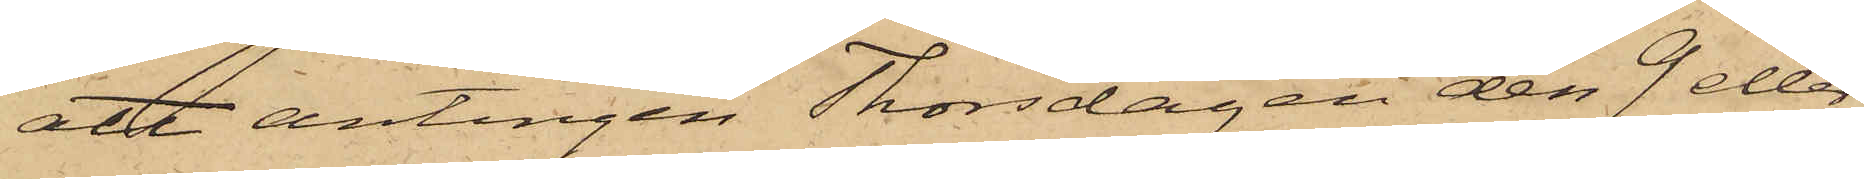att antingen Thorsdagen den 9 eller
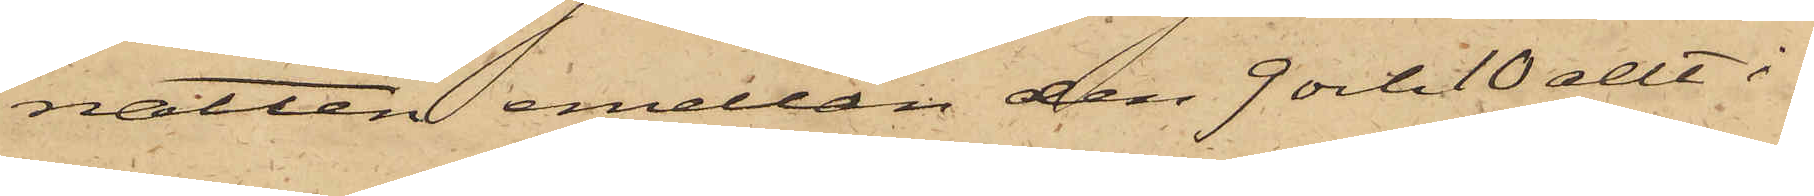natten emellan den 9 och 10 allt i
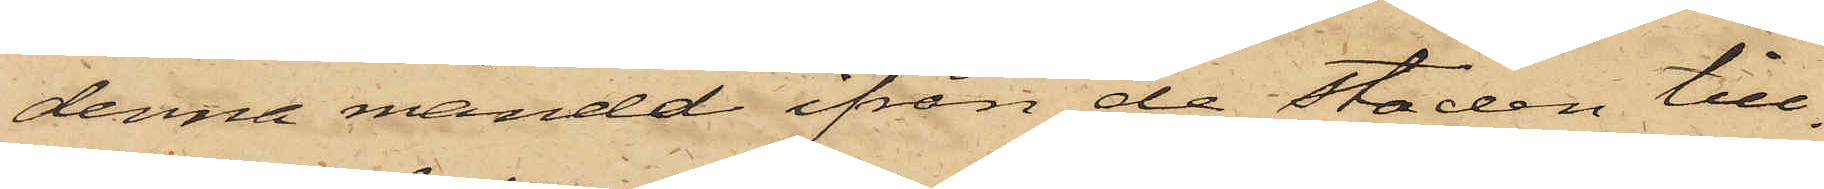denna månad ifrån de Staden till¬
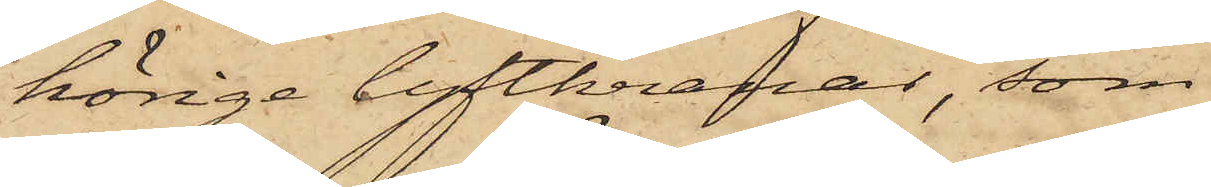hörige lyftkranar, som
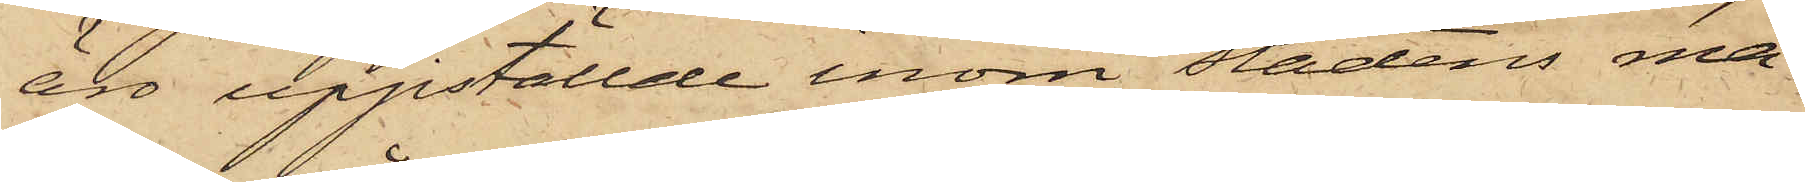äro uppställde inom Stadens ma¬
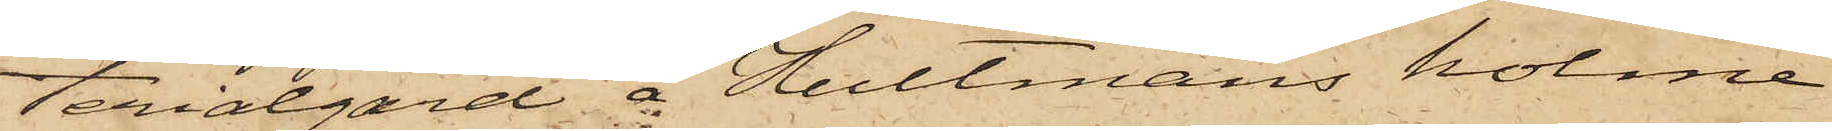terialgård å Hultmans holme
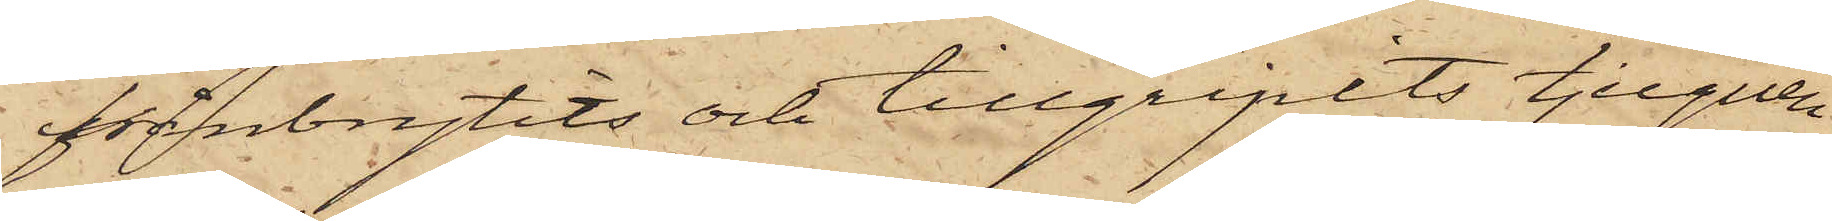frånbrytits och tillgripits tjuguen
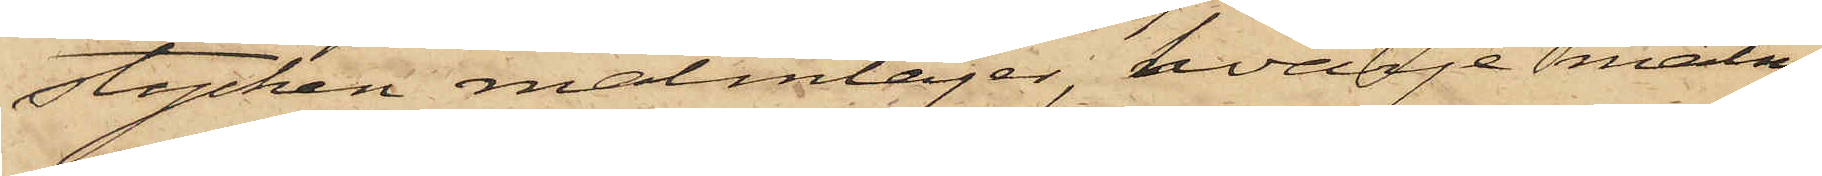stycken malmlager, hvarje malm¬
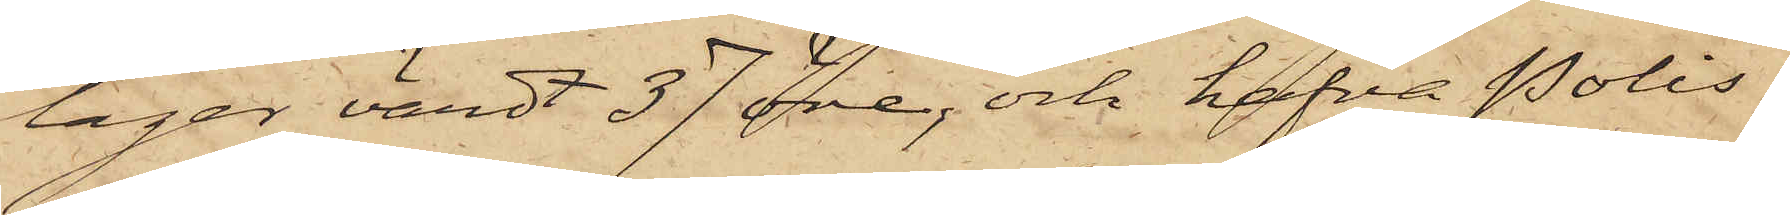lager värdt 37 öre, och hafva Polis¬
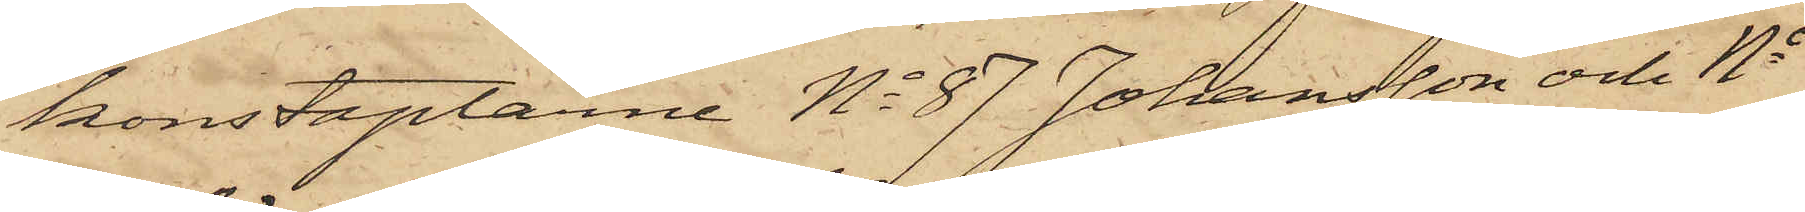konstaplarne No 87 Johansson och No
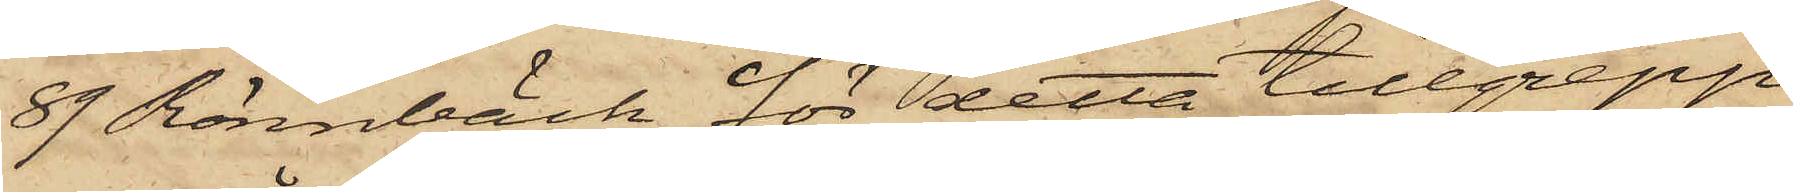89 Rönnbäck för detta tillgrepp
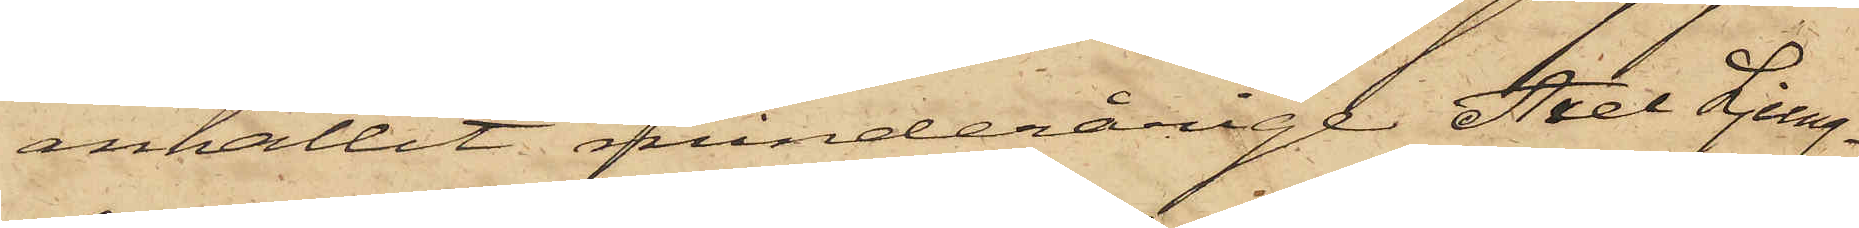anhållit minderårige Axel Ljung¬
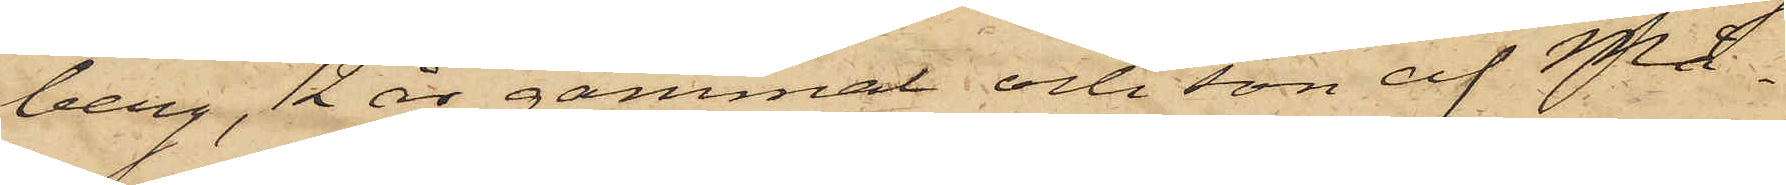berg, 12 år gammal och son af Må¬
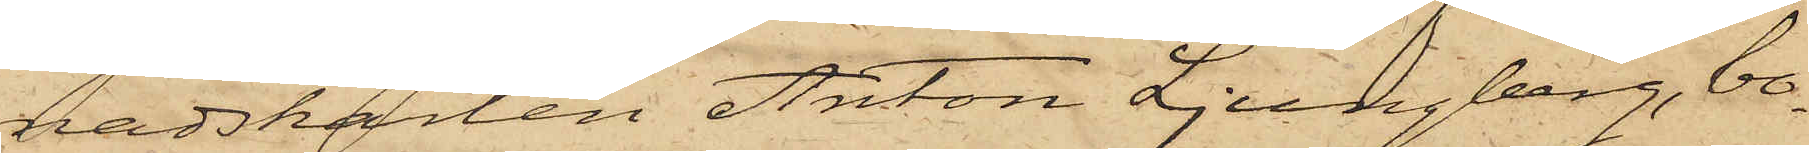nadskarlen Anton Ljungberg, bo¬
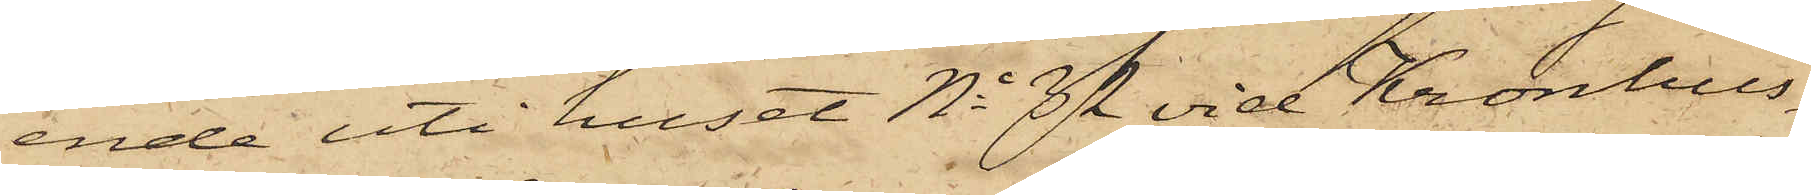ende uti huset No 32 vid Kronhus¬
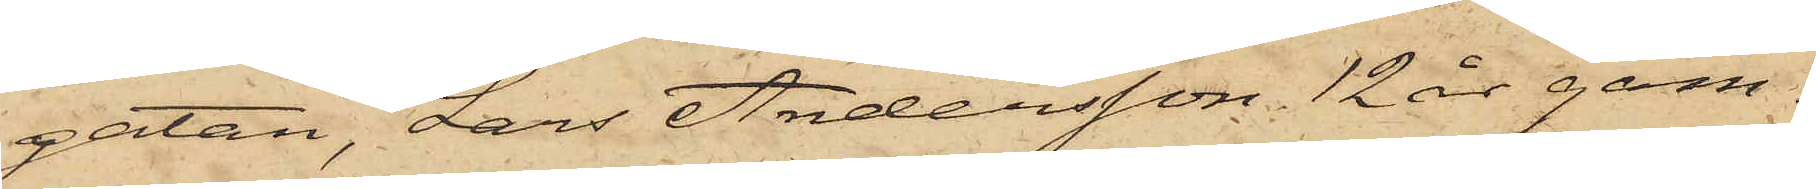gatan, Lars Andersson 12 år gam¬
